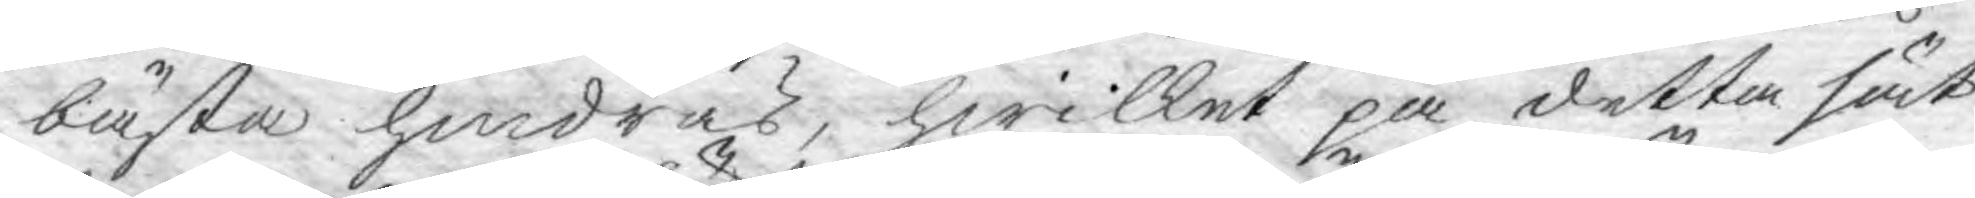bästa hindras, hwilket på detta sät¬
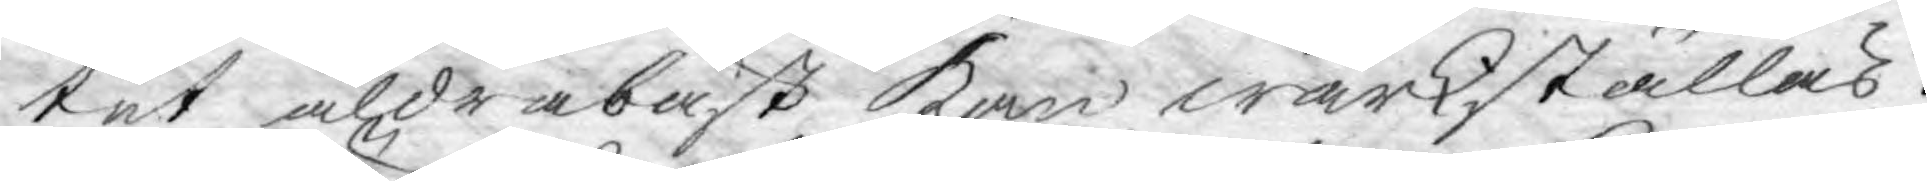tet aldrabäst kan wärkställas.
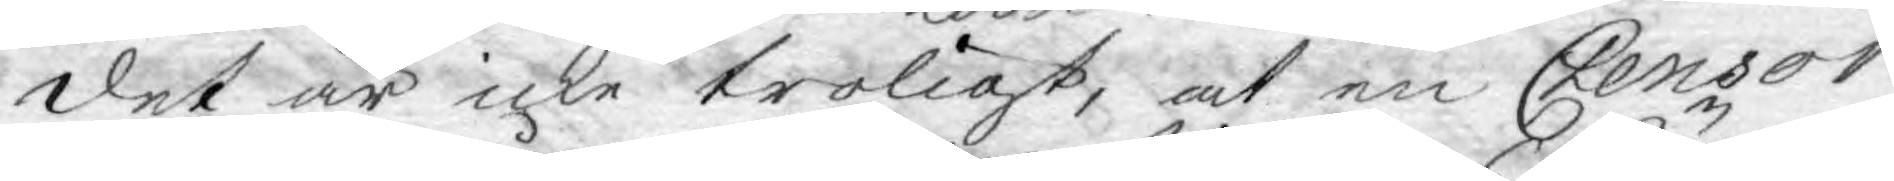det är icke troligt, at en Censor
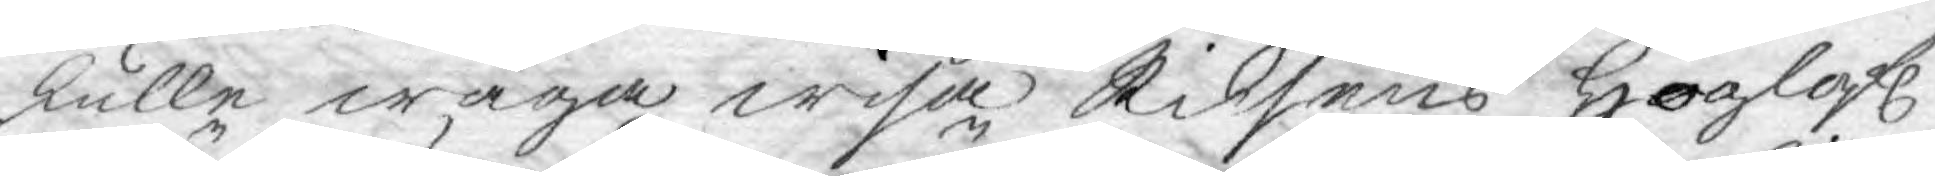skulle wåga wisa Riksens Höglofl.
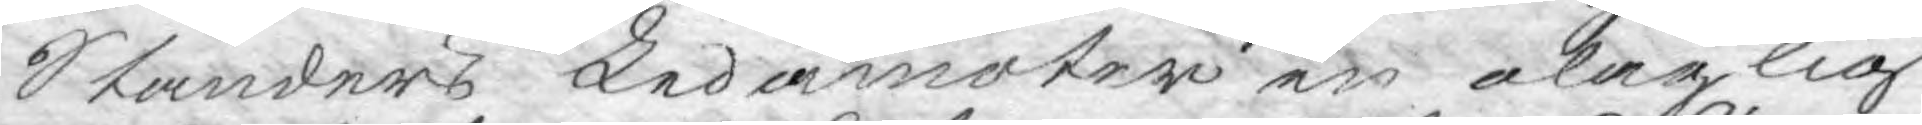Ständers Ledamöter en olaglig
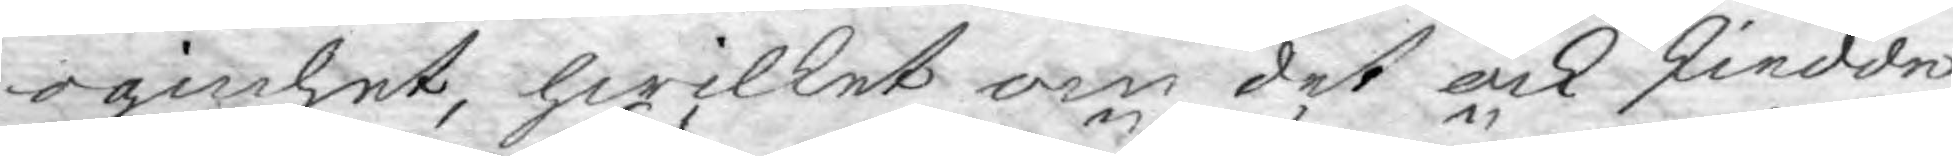oginhet, hwilket om det ock skiedde,
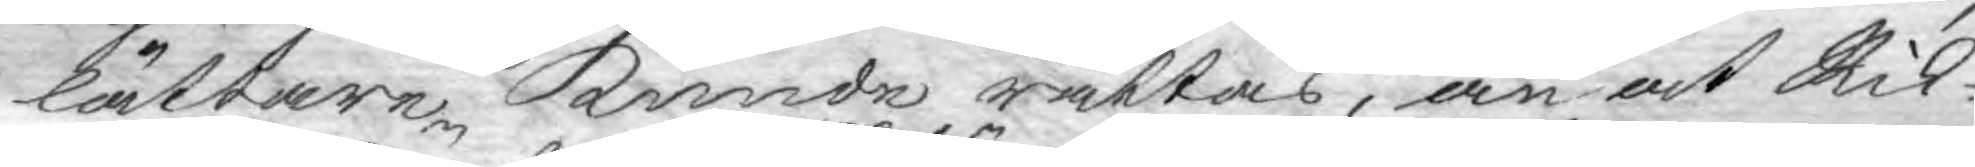lättare kunde rättas, än at Rik¬
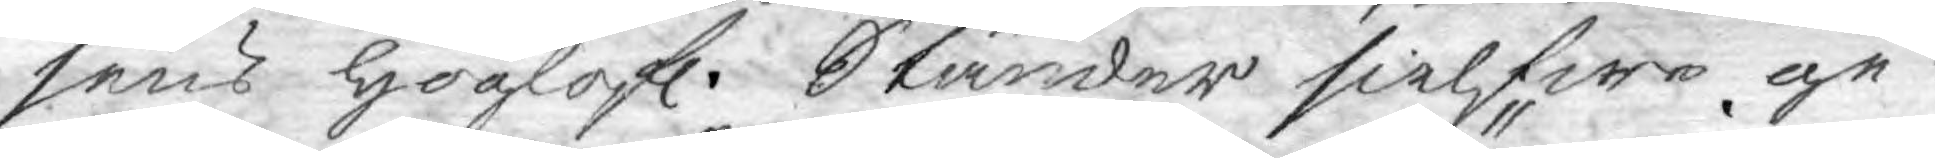sens Höglofl. Ständer sielfwe ge¬
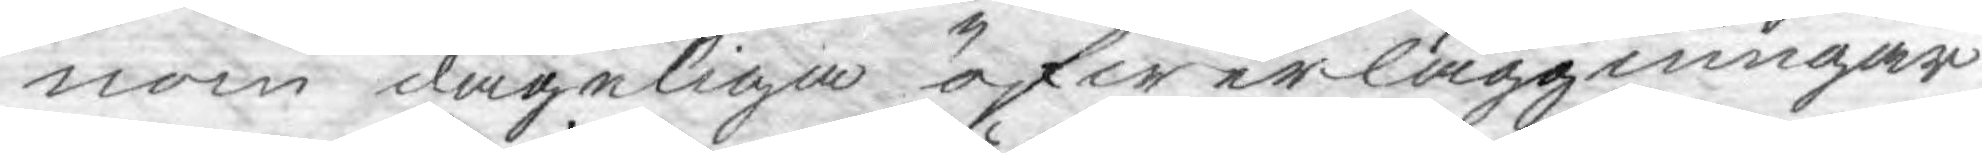nom dageliga öfwerläggningar
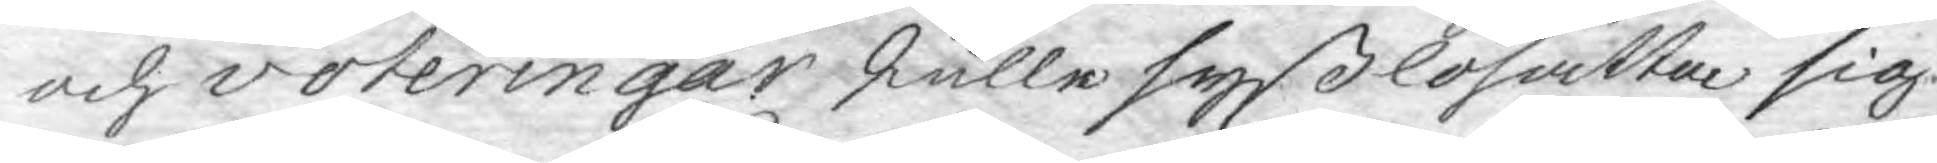och voteringar skulle syßlosätta sig
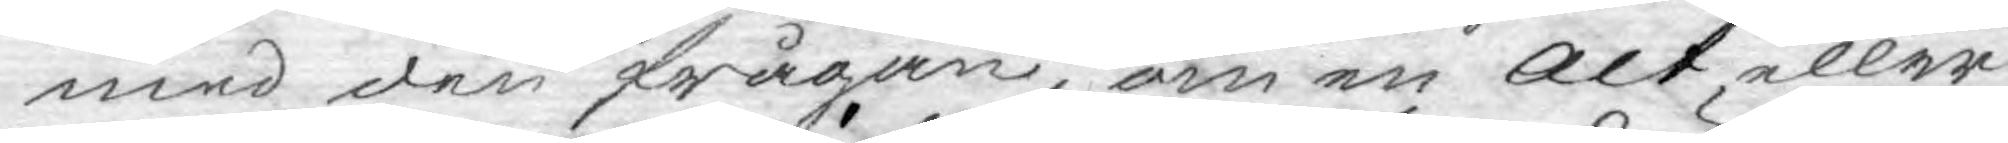med den frågan, om en act, eller
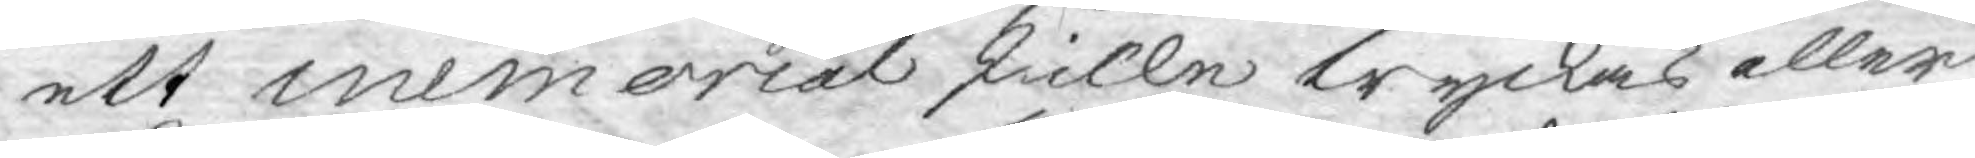ett memorial skulle tryckas eller
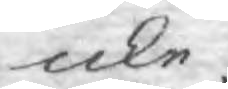icke.
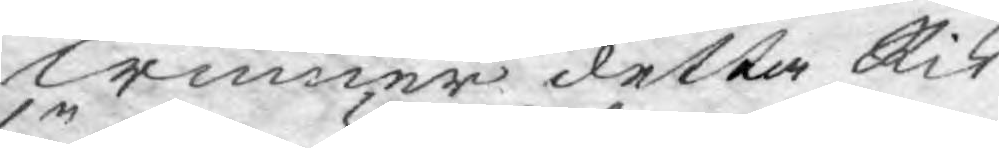Winner detta Rik¬
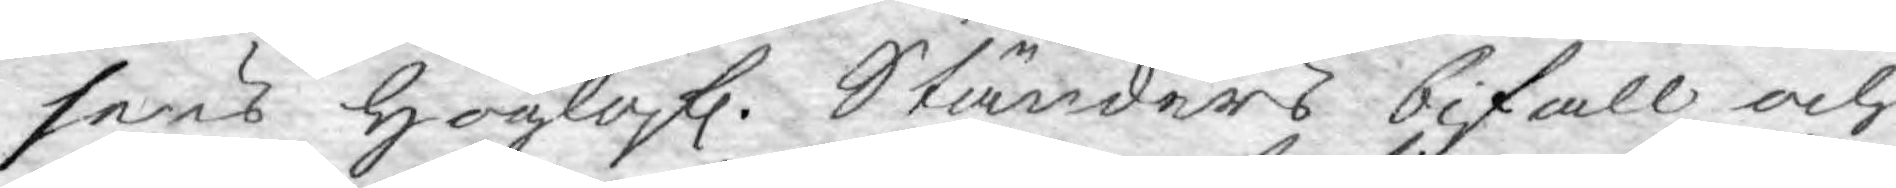sens Höglofl. Ständers bifall och
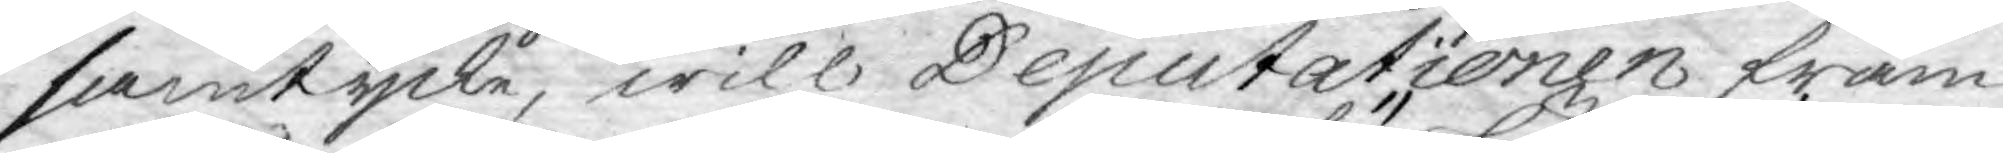samtycke, will Deputationen fram¬
